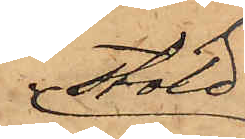stöld
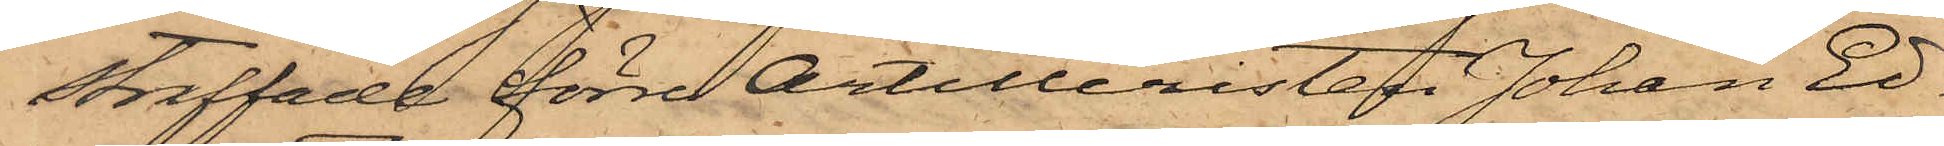straffade förre Artilleristen Johan Ed¬
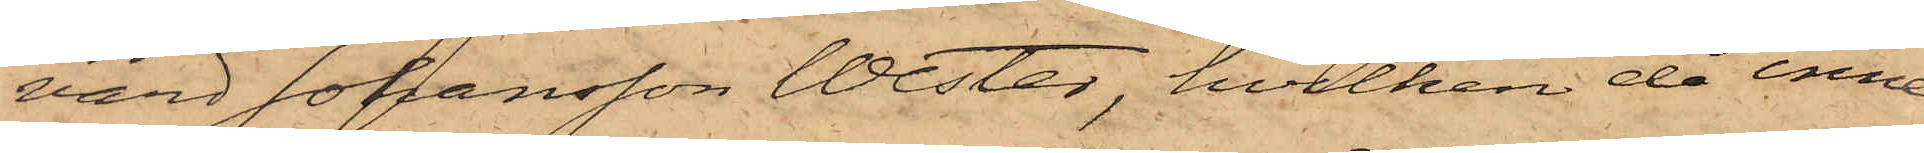vard Johansson Wester, hvilken då inne¬
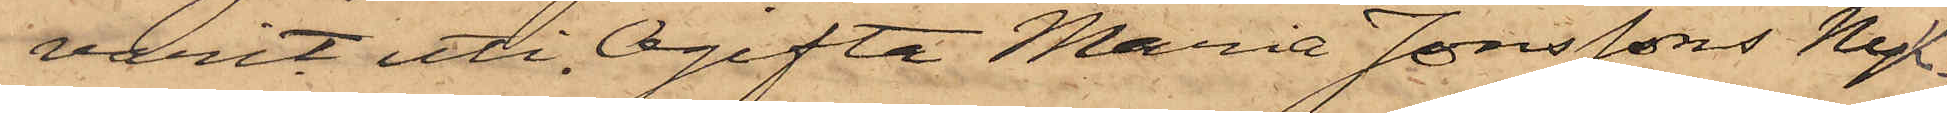varit uti Ogifta Maria Jonssons Nyk¬
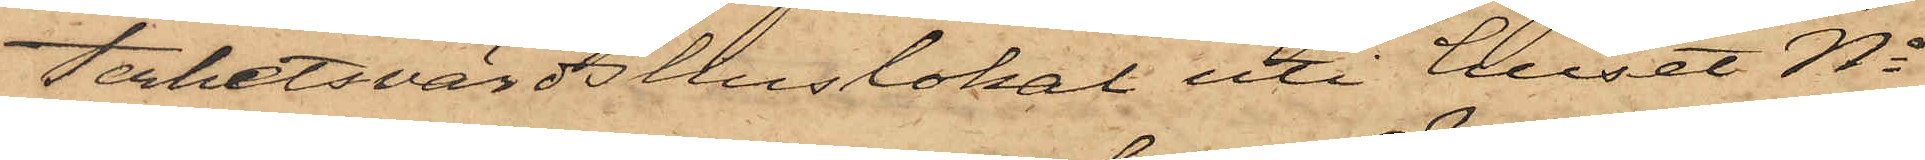terhetsvärdhuslokal uti huset No
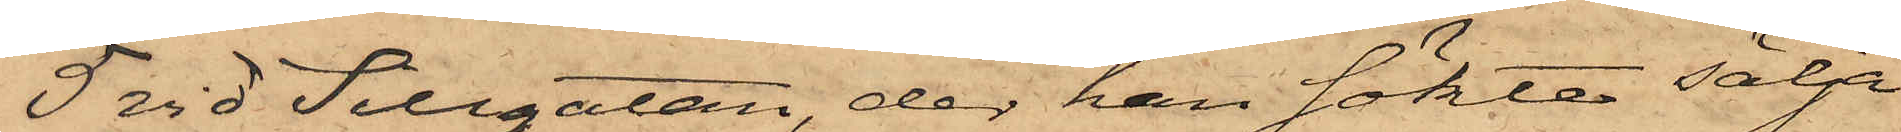5 vid Sillgatan, der han sökte sälja
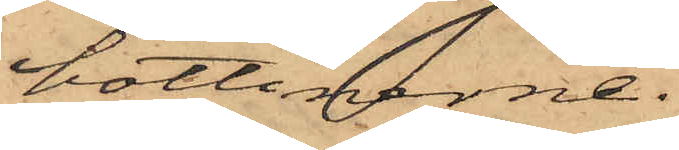bottinerne.
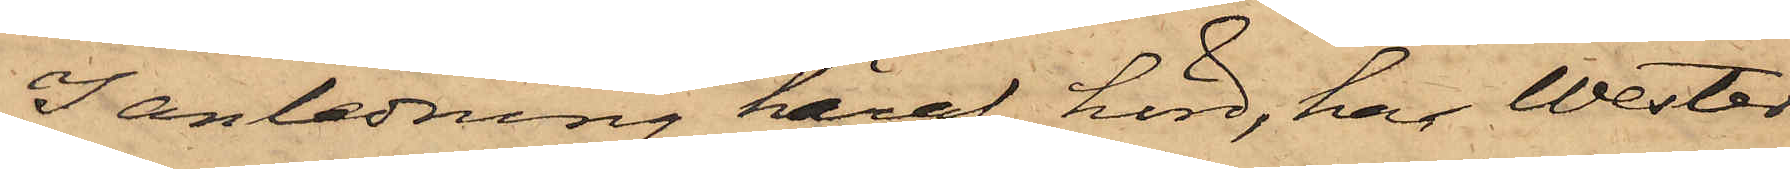I anledning häraf hörd, har Wester
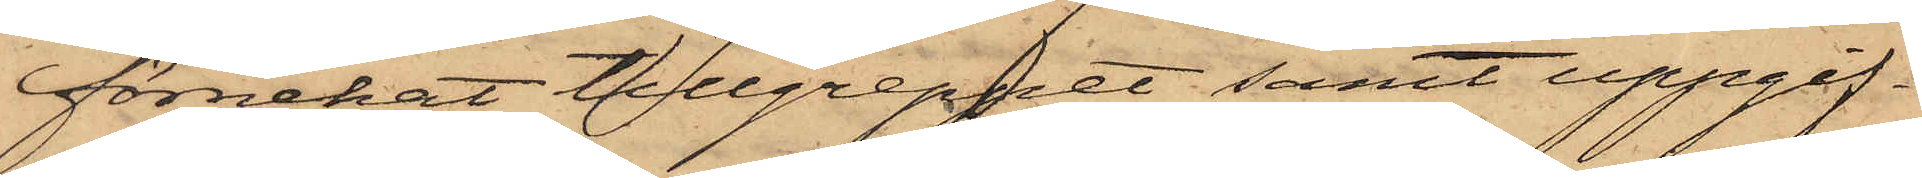förnekat tillgreppet samt uppgif¬
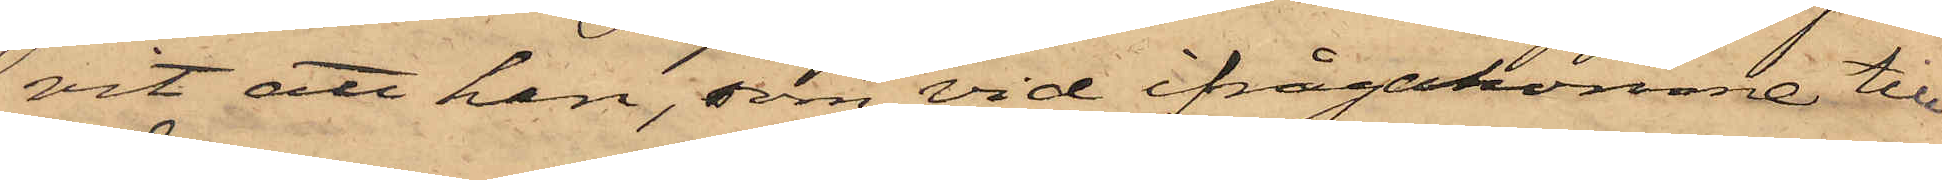vit att han, som vid ifrågakomne till¬
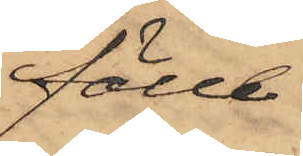fälle
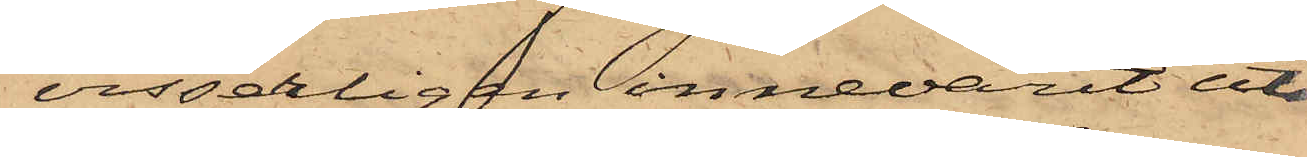visserligen innevarit uti
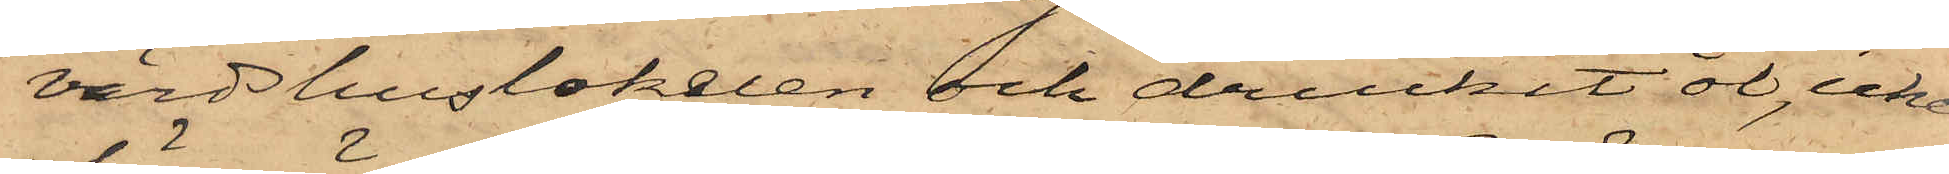värdshuslokalen och druckit öl, icke
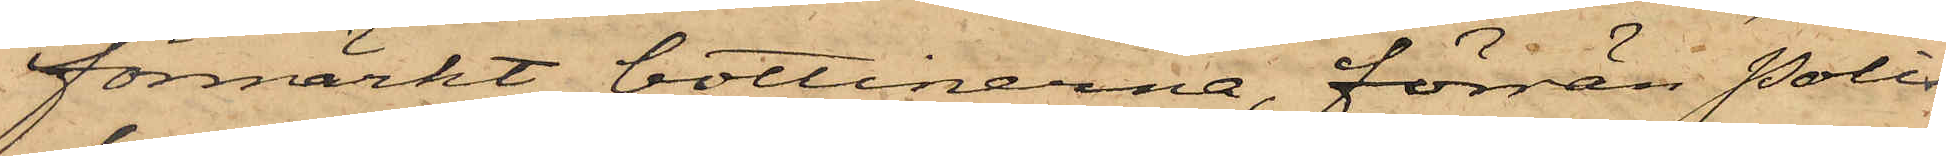förmärkt bottinerna, förrän Polis¬
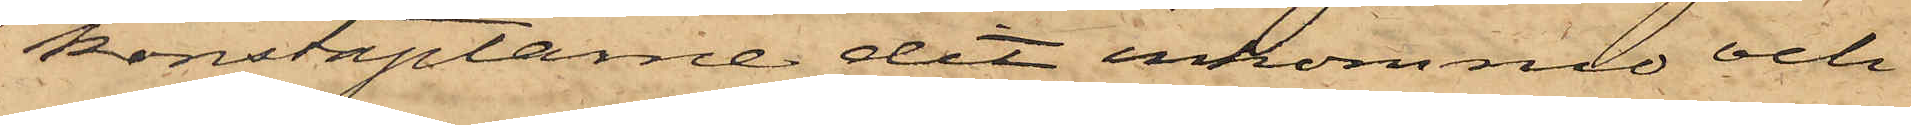konstaplarne dit inkommo och
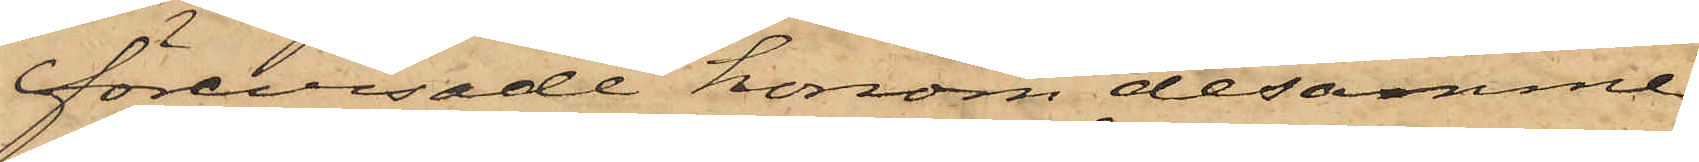förevisade honom desamme.
